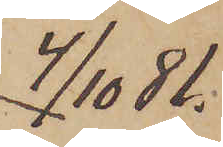4/10  81.
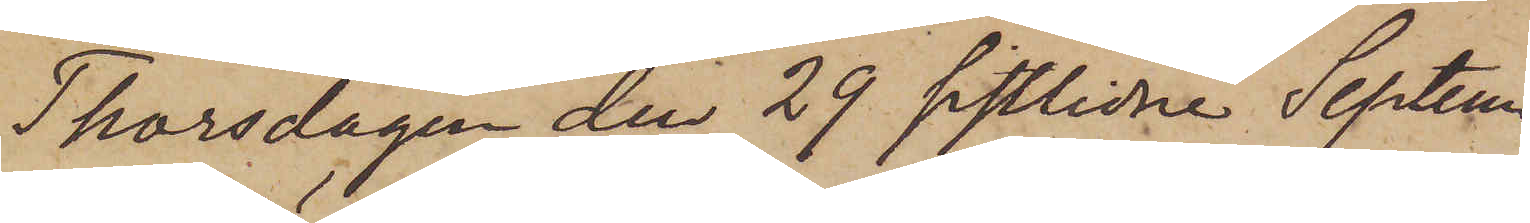Thorsdagen den 29 sistlidne Septem¬
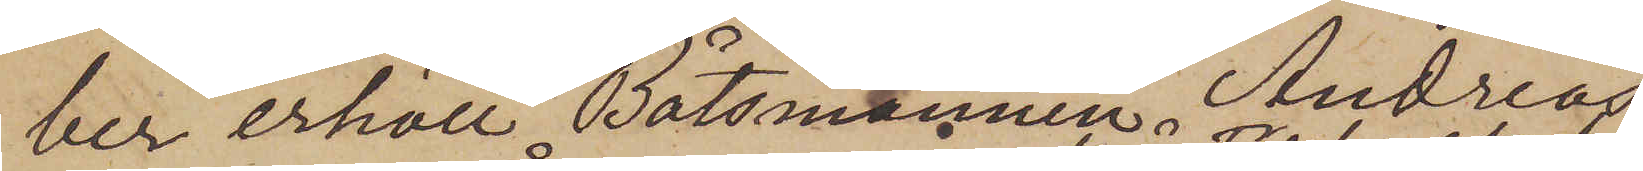ber erhöll Båtsmannen Andreas
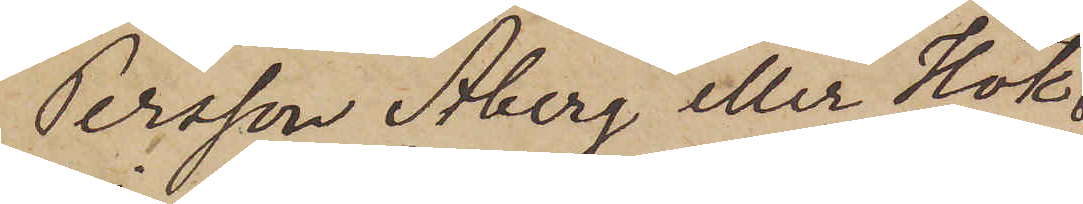Persson Åberg eller Hök
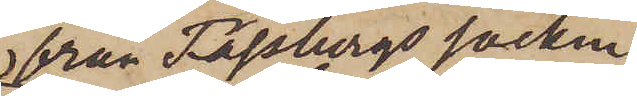från Fässbergs socken
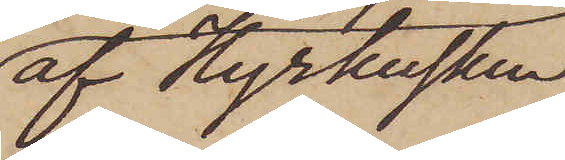af Hyrkusten
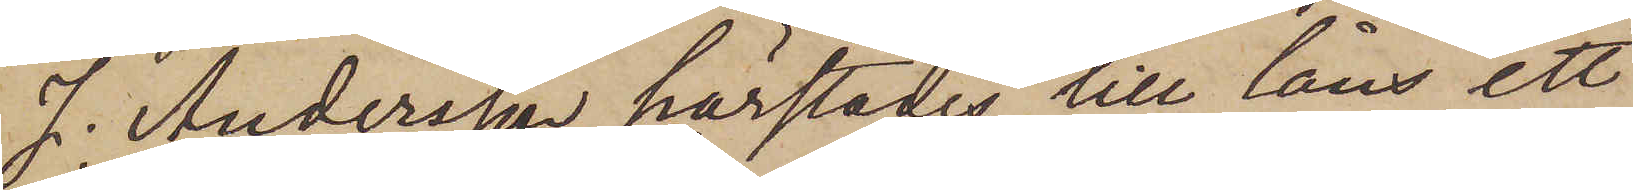J. Andersson härstädes till låns ett
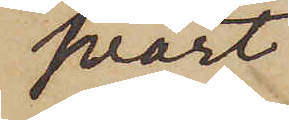svart
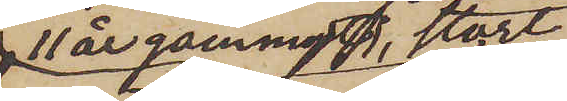11 år gammalt, stort
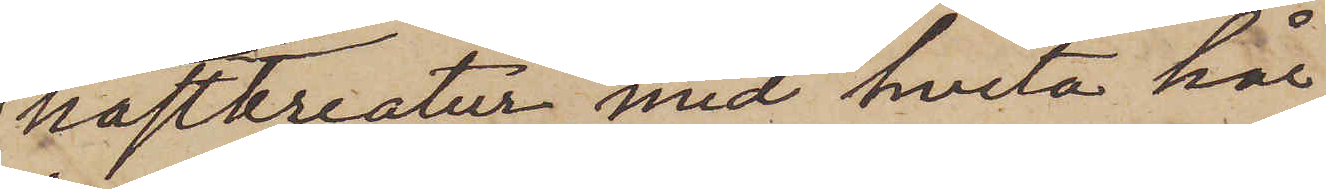hästkreatur med hvita hår
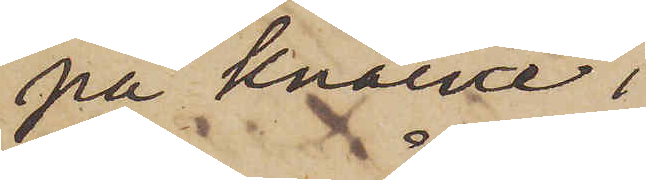på knäna,
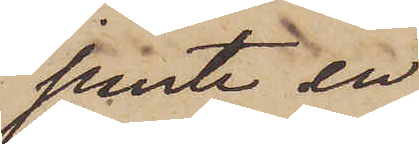jemte en
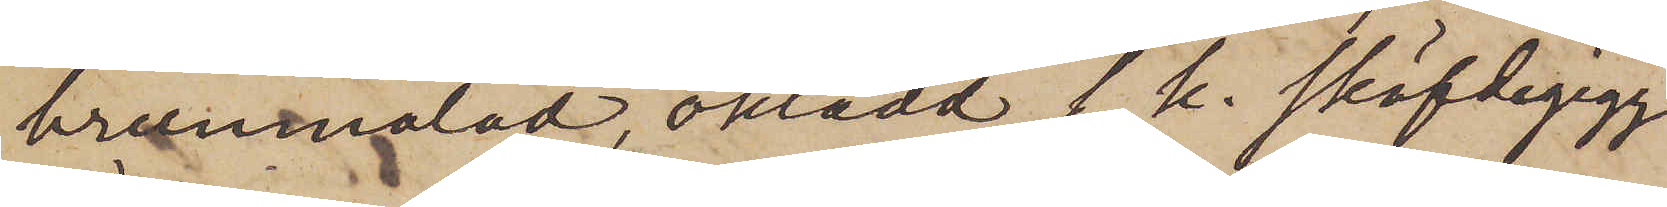brunmålad, oklädd s. k. sköfdegigg
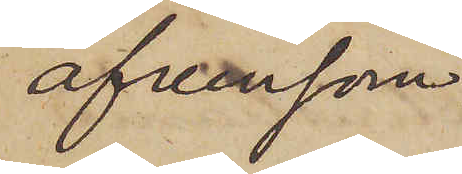äfvensom
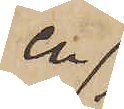en
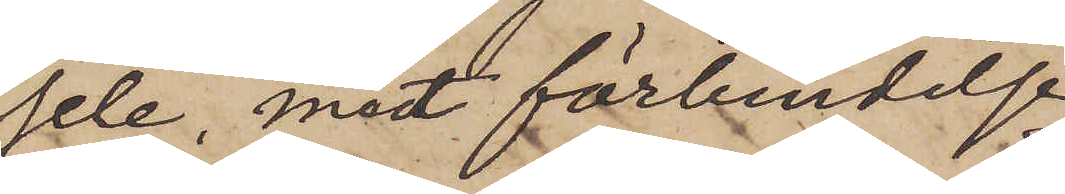sele, mot förbindelse
